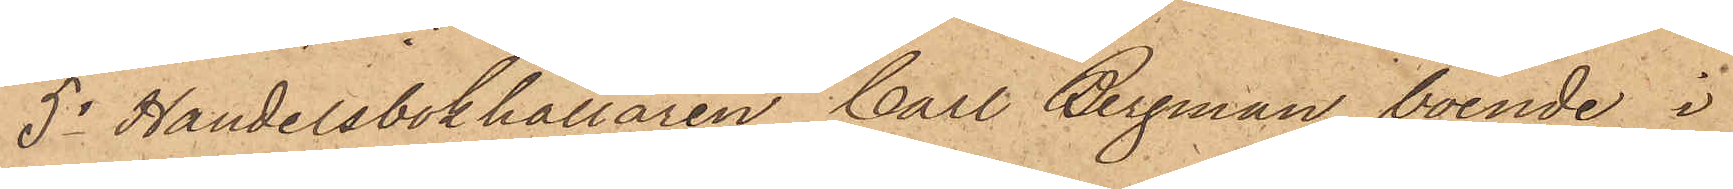5o Handelsbokhållaren Carl Bergman, boende i
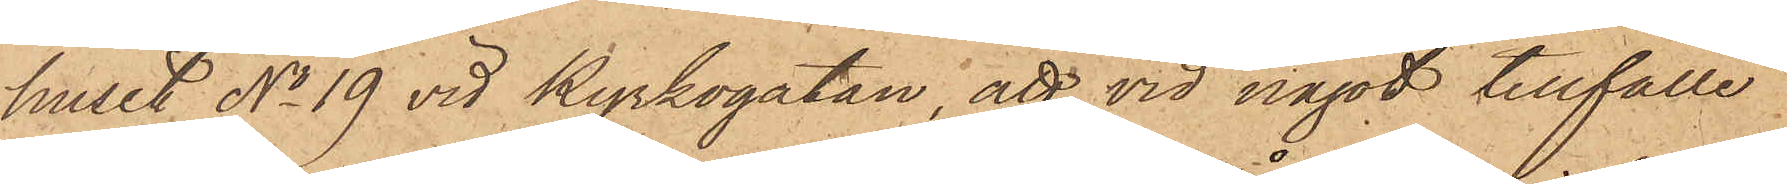huset No 19 vid Kyrkogatan, att vid något tillfälle
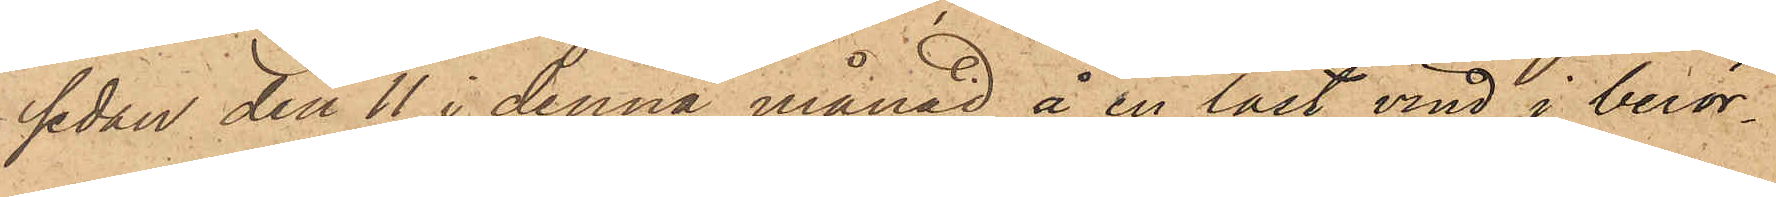sedan den 11 i denna månad å en låst vind i berör¬
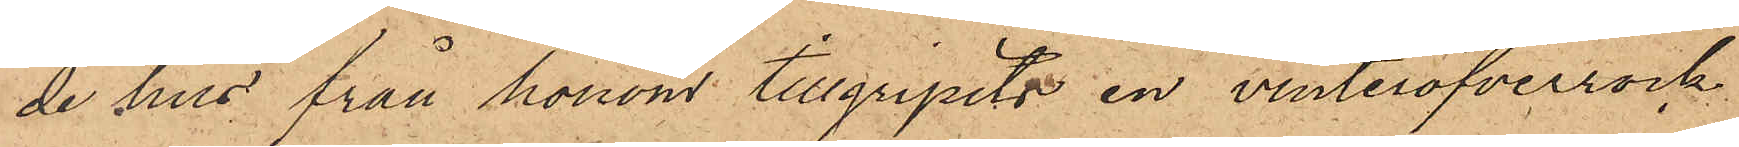de hus från honom tillgripits en vinteröfverrock,
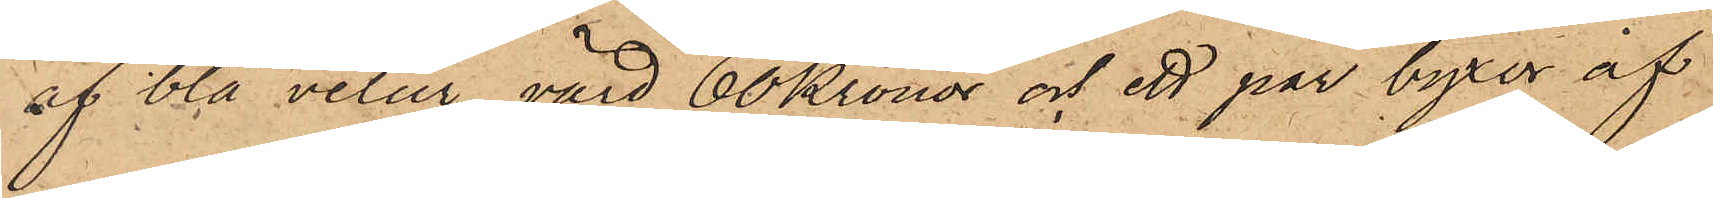af blå velur, värd 60 Kronor och ett par byxor af
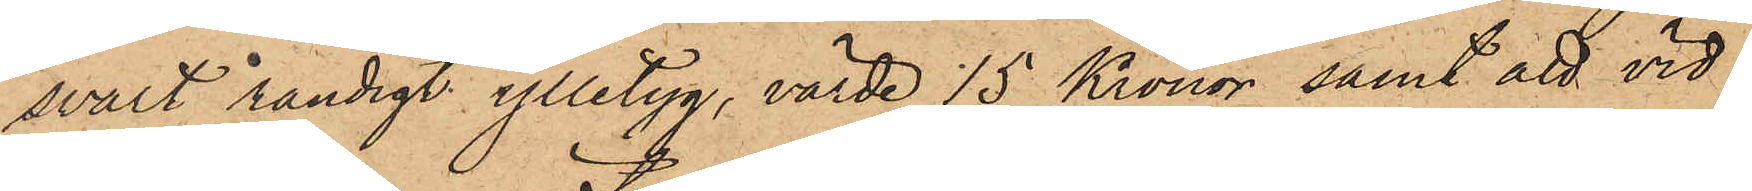svart randigt ylletyg, värde 15 Kronor, samt att vid
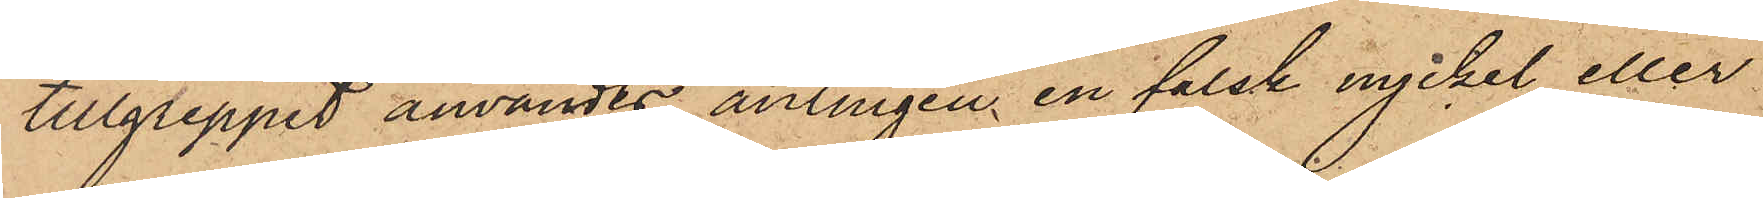tillgreppet användts antingen en falsk nyckel eller
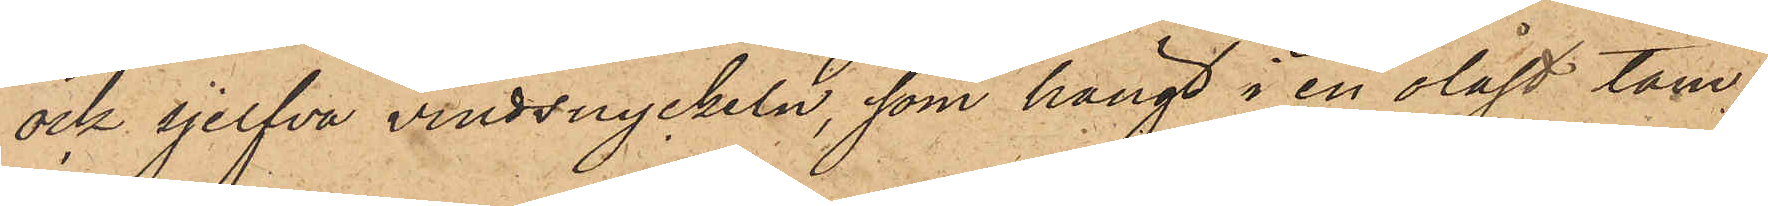ock sjelfva vindsnyckeln, som hängt i en olåst tam¬
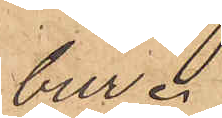bur.
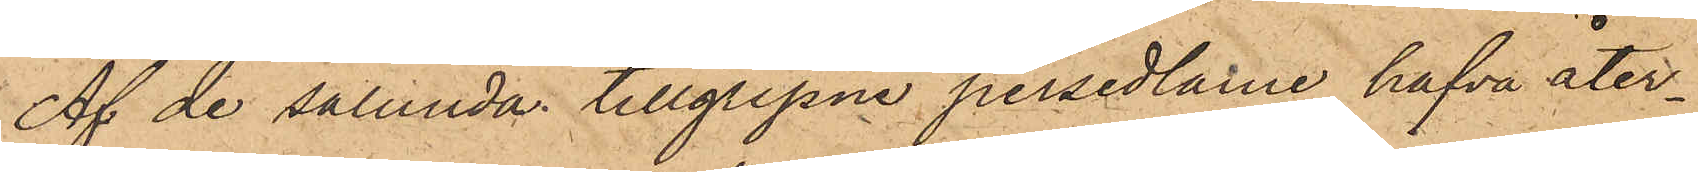Af de sålunda tillgripne persedlarne hafva åter¬
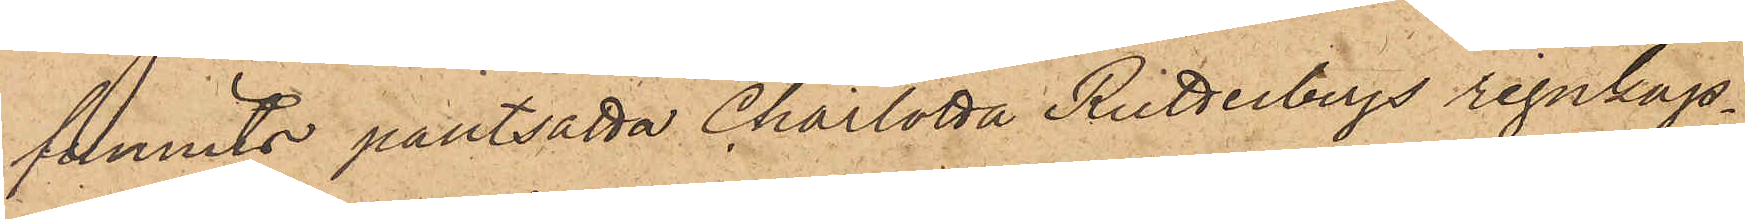funnits pantsatta Charlotta Rutterbergs regnkap¬
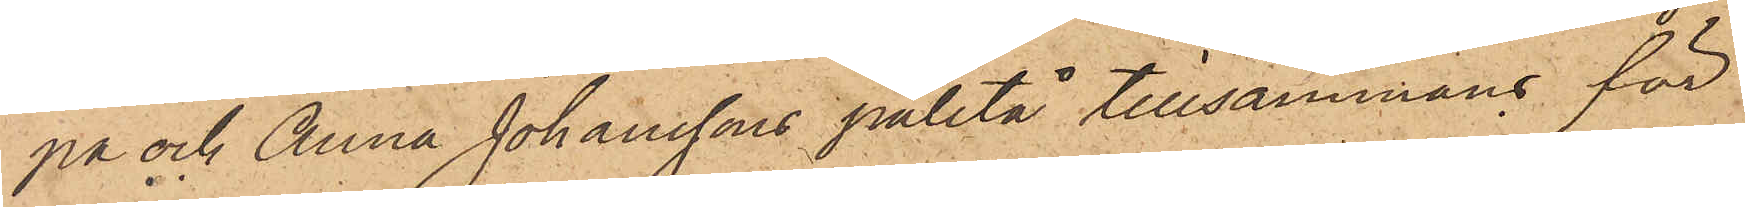pa och Anna Johanssons paletå tillsammans för
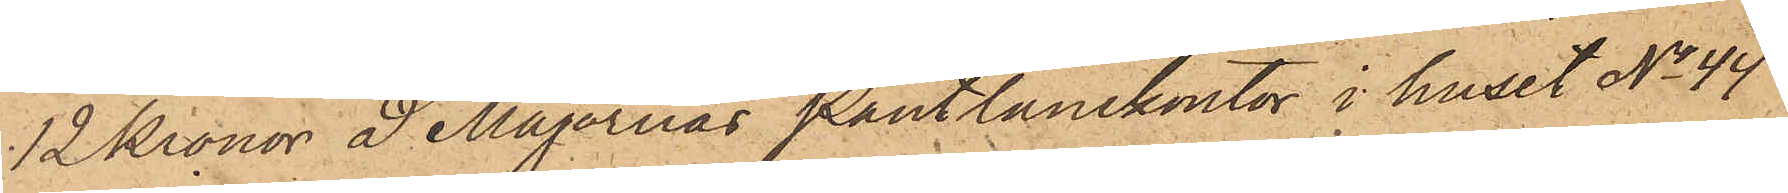12 Kronor å Majornas Pantlånekontor i huset No 44
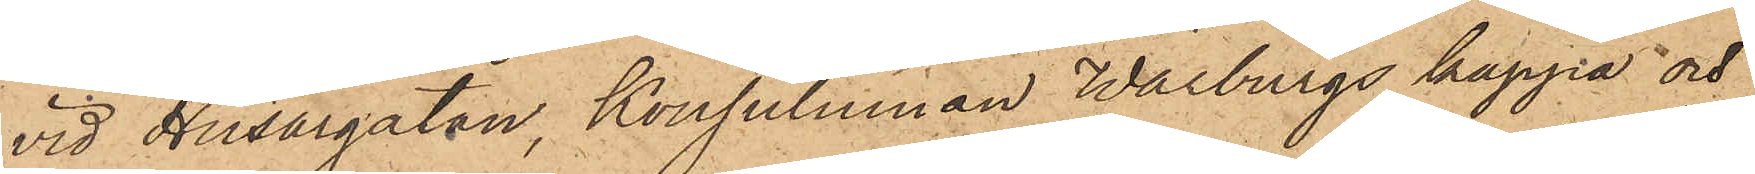vid Husargatan, Konsulinnan Warburgs kappa och
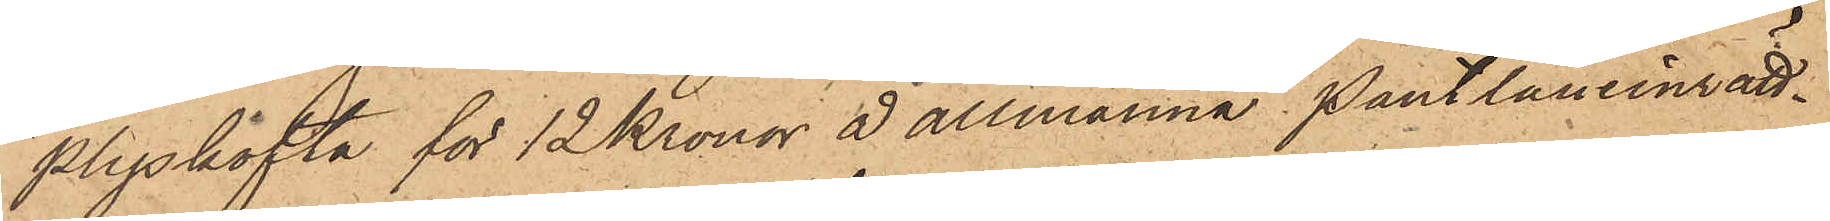plyskofta för 12 Kronor å allmänna Pantlåneinrätt¬
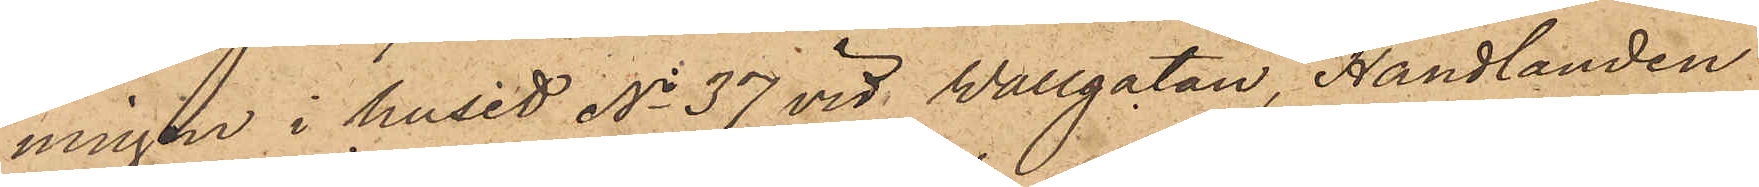ningen i huset No 37 vid Wallgatan, Handlanden
